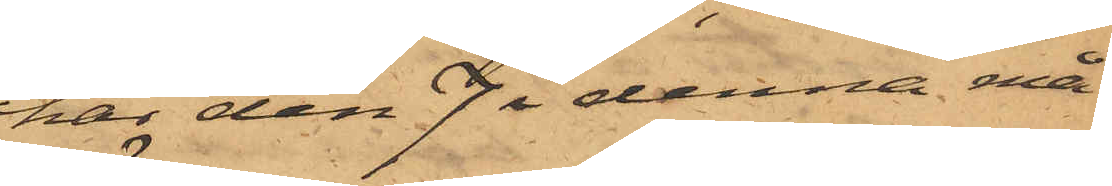har den 7 i denna må¬
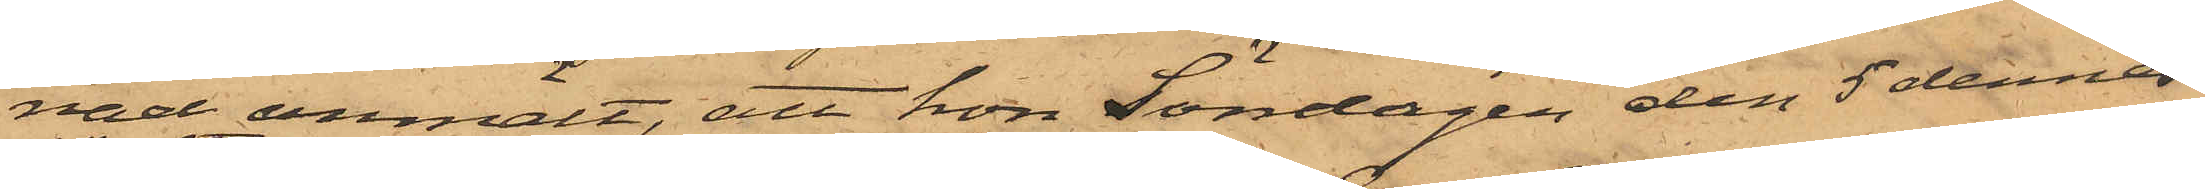nad anmält, att hon Söndagen den 5 dennes
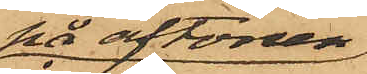på aftonen
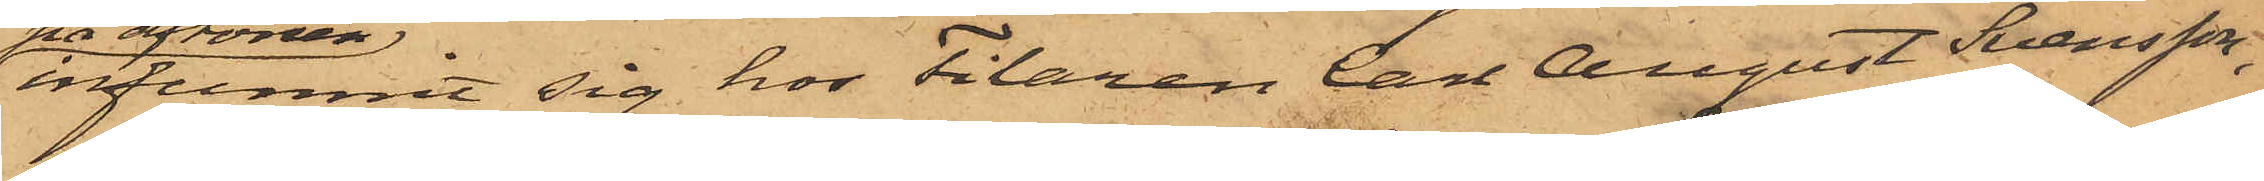infunnit sig hos Filaren Carl August Svensson,
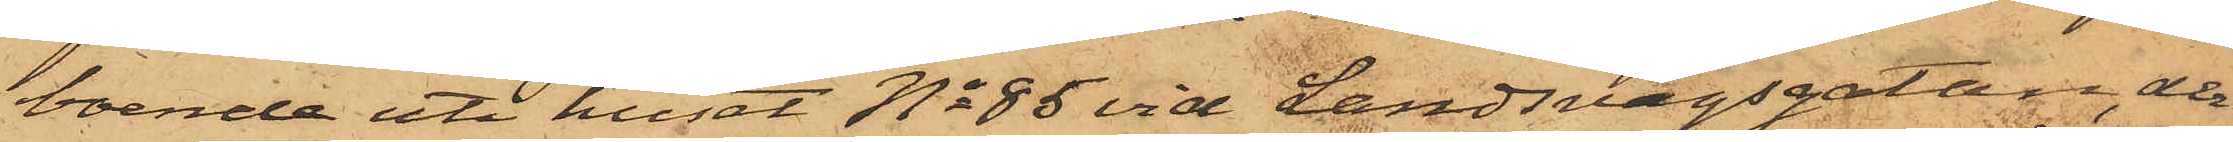boende uti huset No 85 vid Landsvägsgatan, der¬
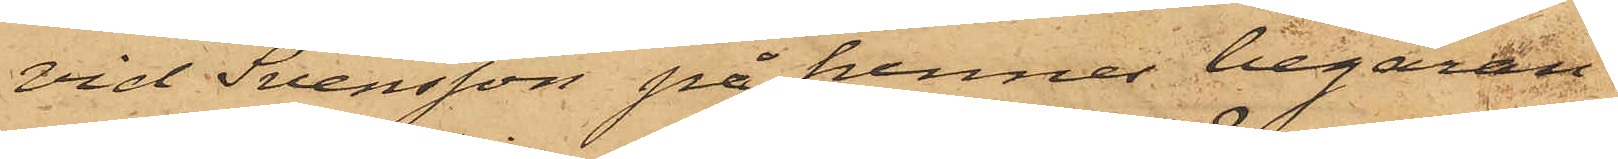vid Svensson på hennes begäran
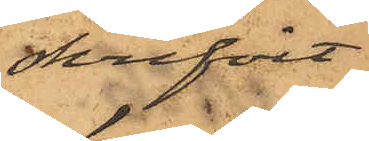skrifvit
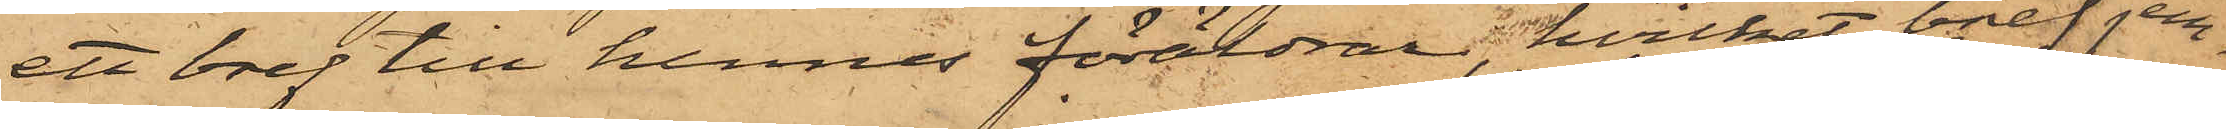ett bref till hennes föräldrar, hvilket bref jem¬
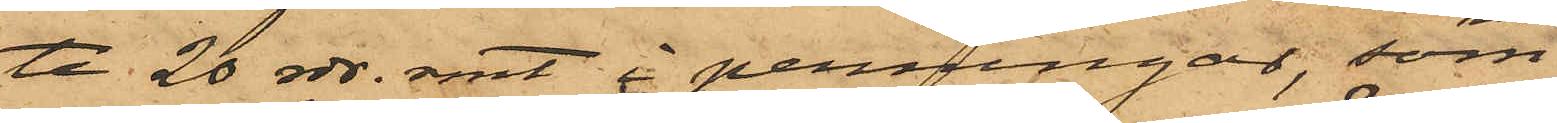te 20 rdr. rmt i penningar, som
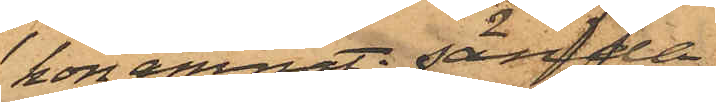hon ämnat sända
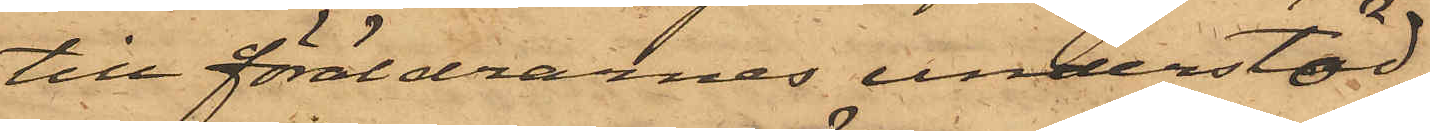till föräldrarnes understöd,
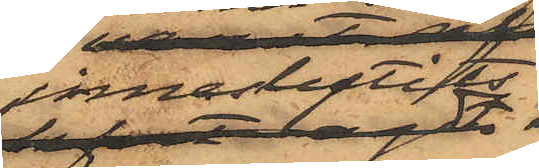inneslutits
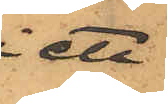i ett
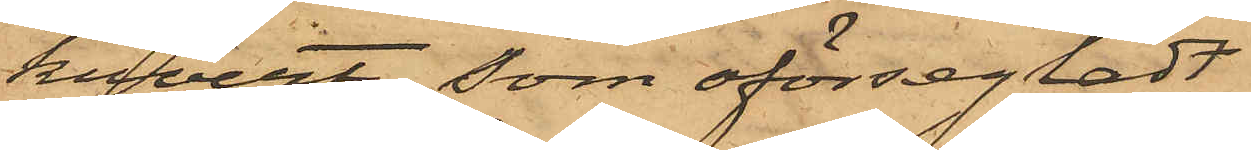kuvert, som oförsegladt
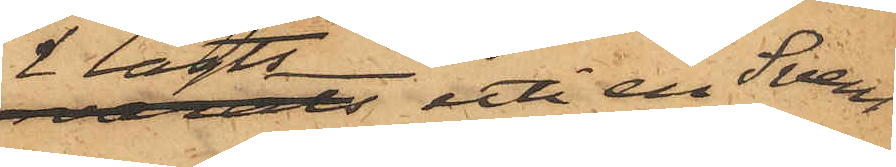lagts uti en Sven¬
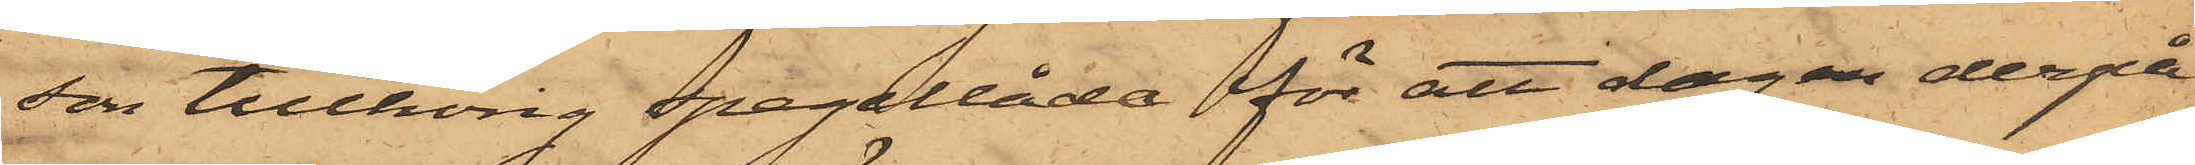son tillhörig spegellåda för att dagan derpå
